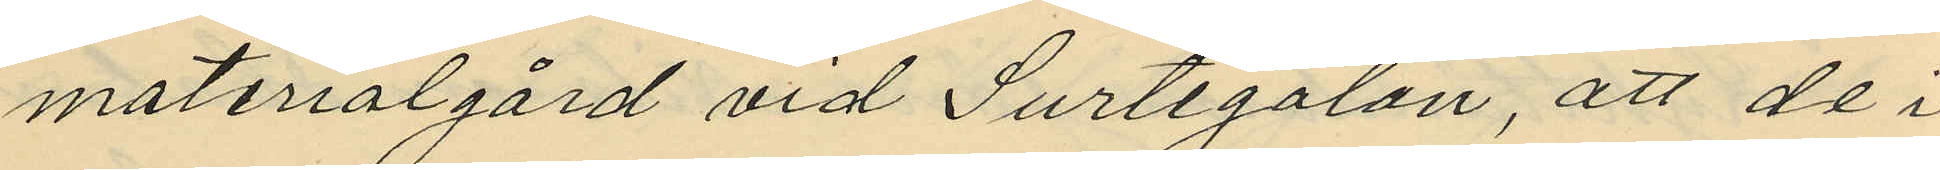materialgård vid Surtegatan, att de i
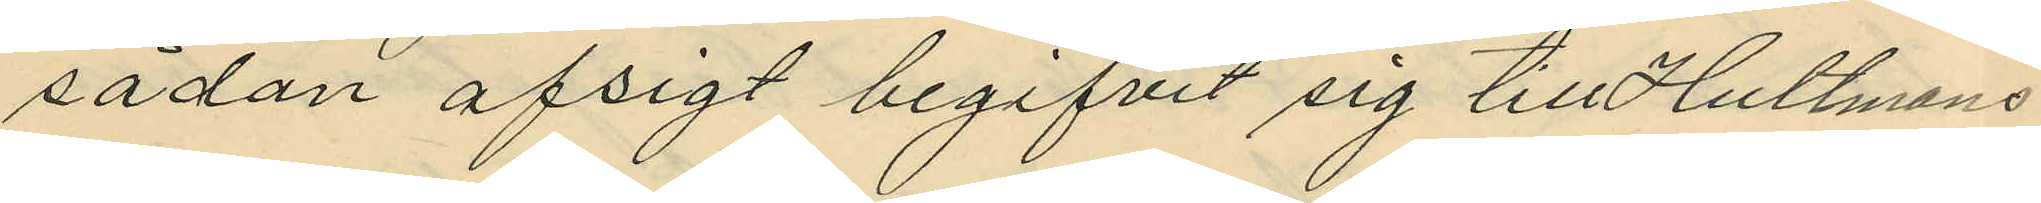sådan afsigt begifvit sig till Hultmans
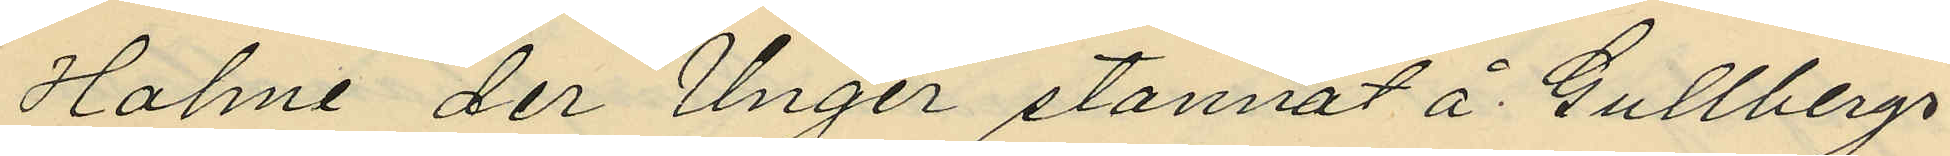Holme der Unger stannat å Gullbergs
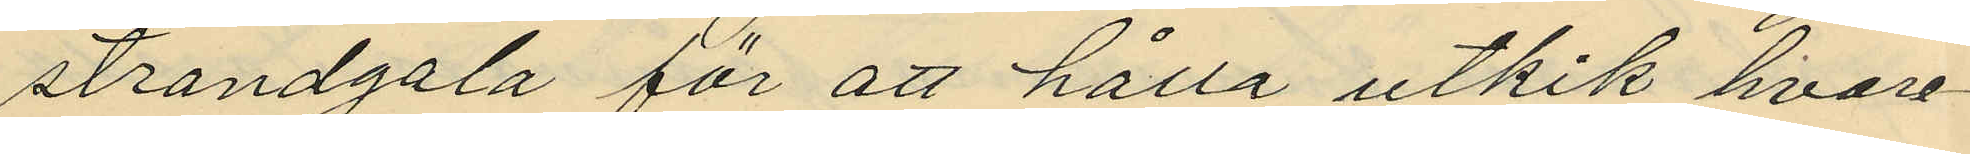strandgata för att hålla utkik hvare¬
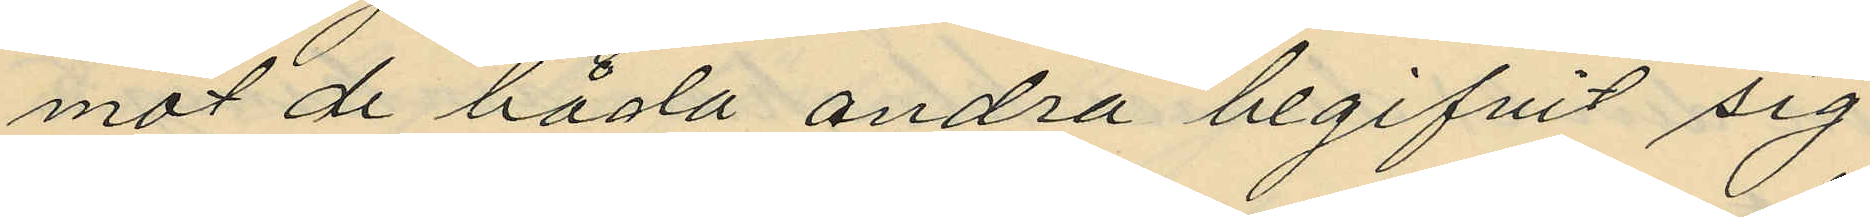mot de båda andra begifvit sig
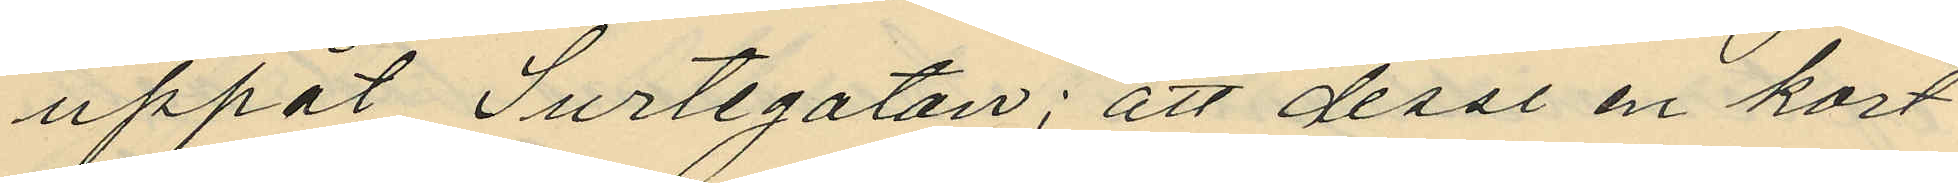uppåt Surtegatan; att dessa en kort
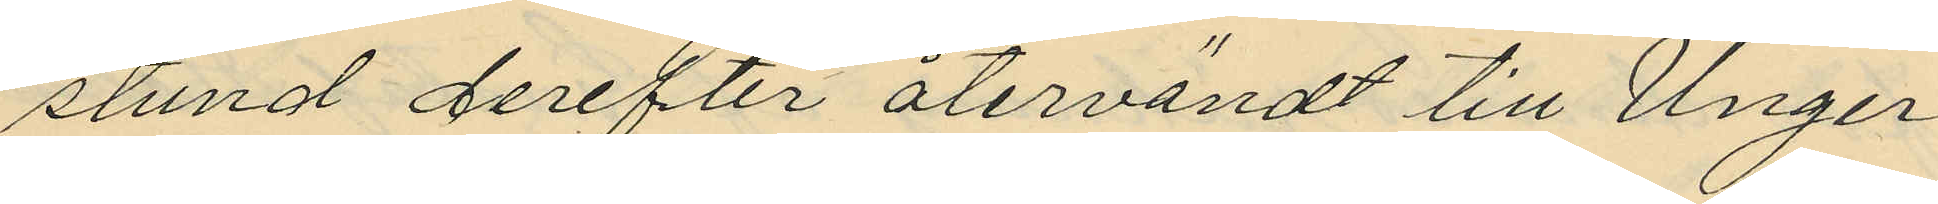stund derefter återvändt till Unger
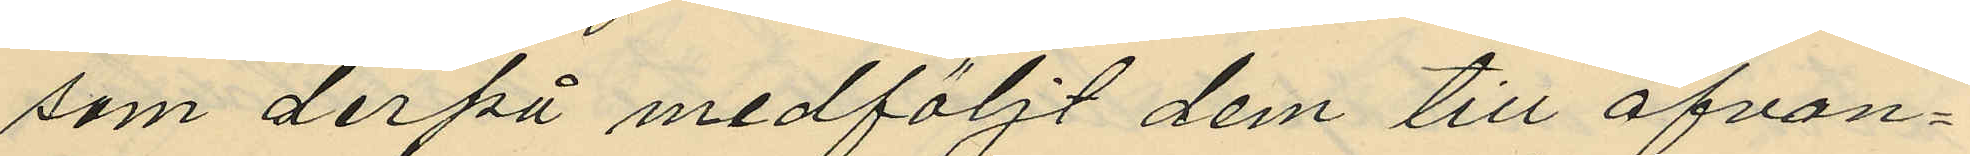som derpå medföljt dem till ofvan¬
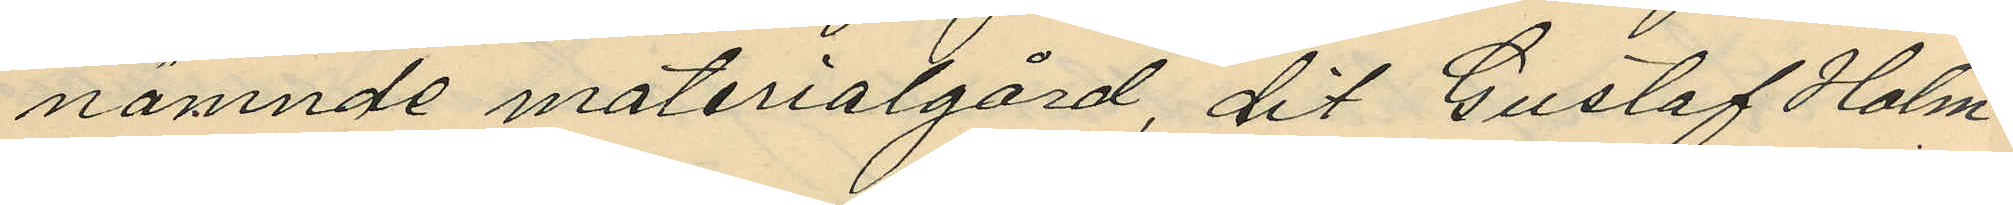nämnde materialgård, dit Gustaf Holm¬
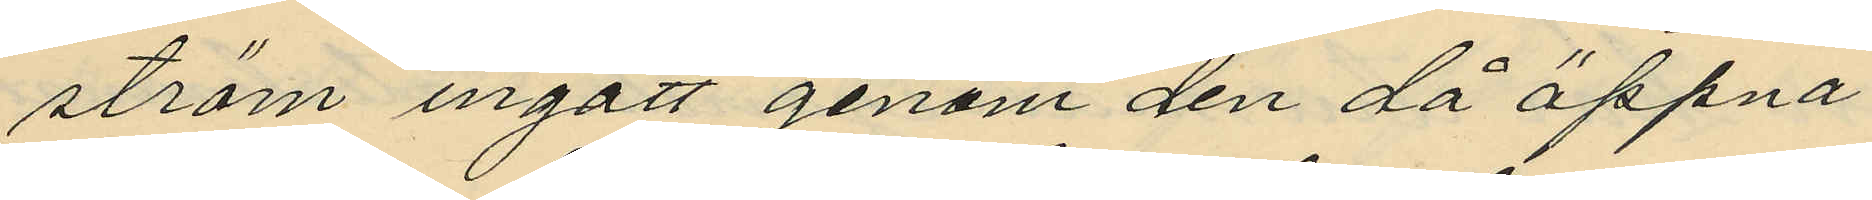ström ingått genom den då öppna
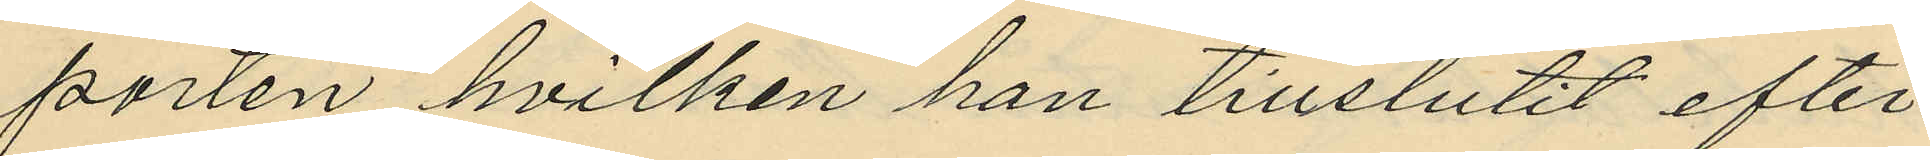porten hvilken han tillslutit efter
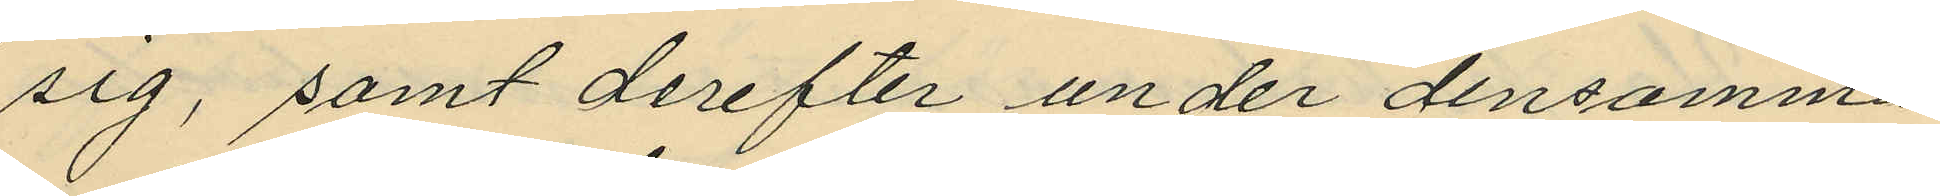sig, samt derefter under densamma
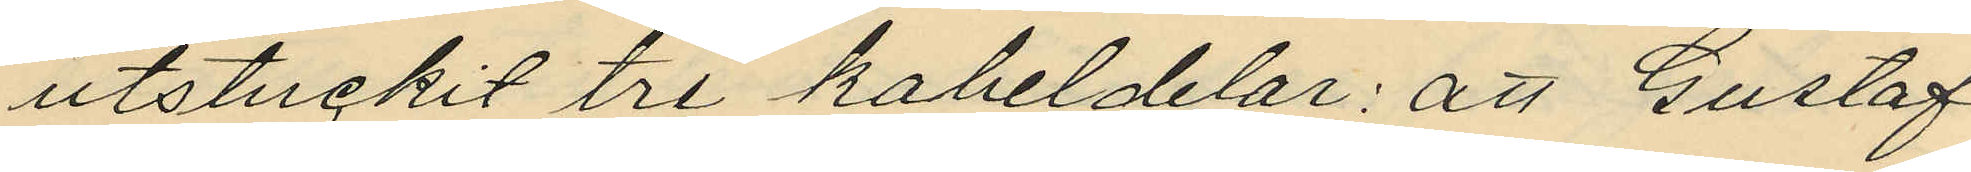utstuckit tre kabeldelar; att Gustaf
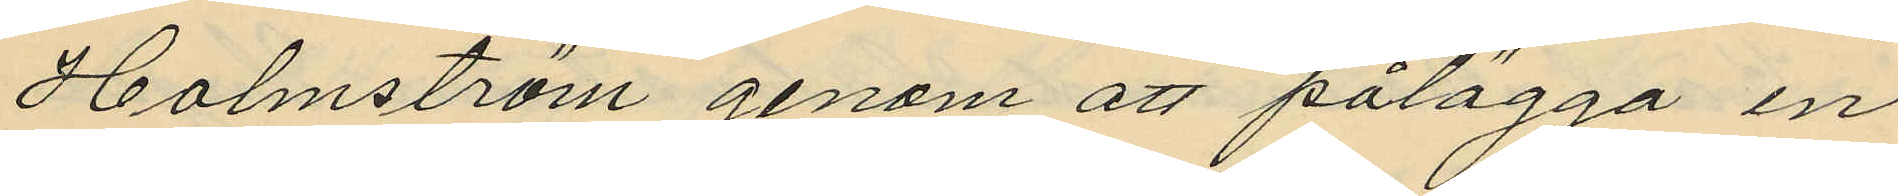Holmström genom att pålägga en
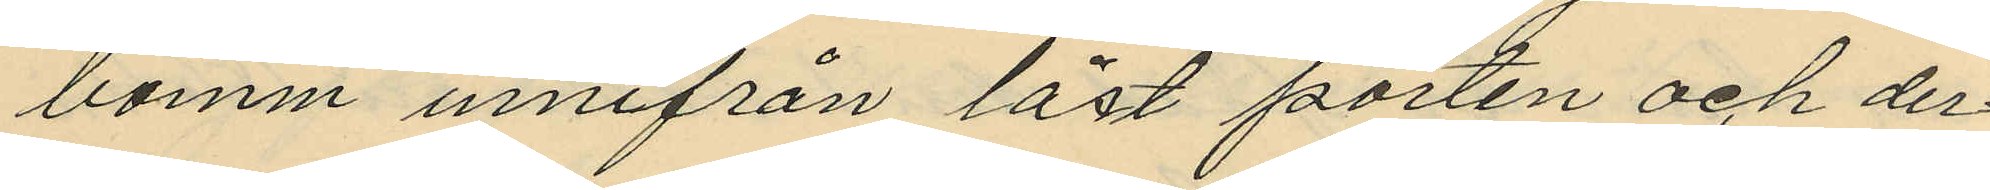bomm innifrån låst porten och der¬
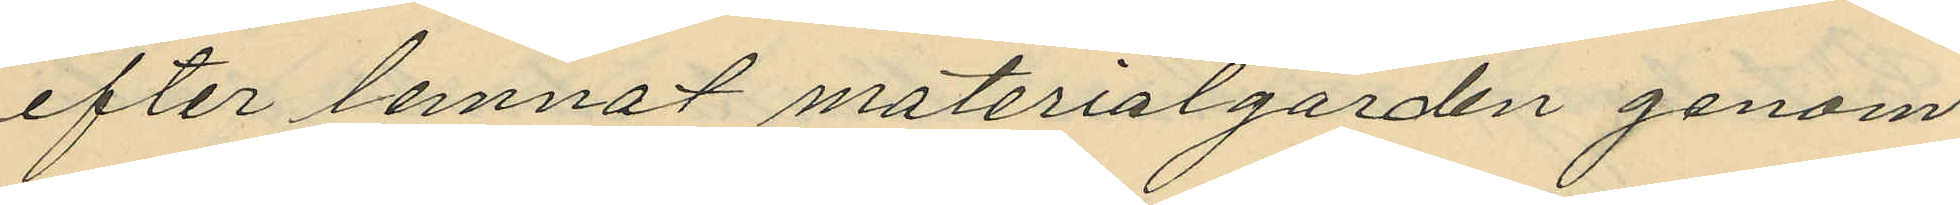efter lemnat materialgården genom
